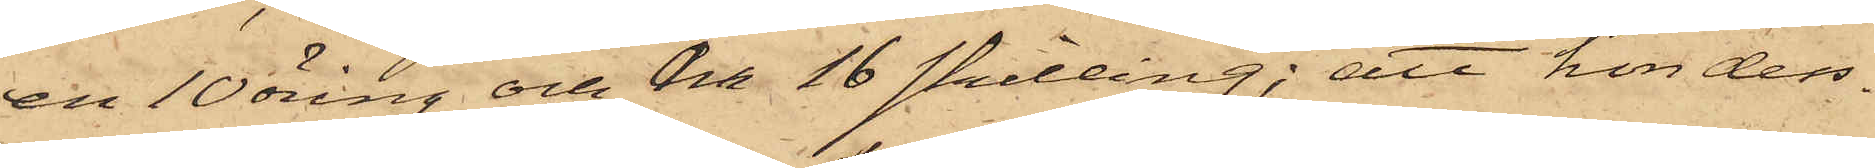en 10 öring och en 16 skilling; att hon dess¬
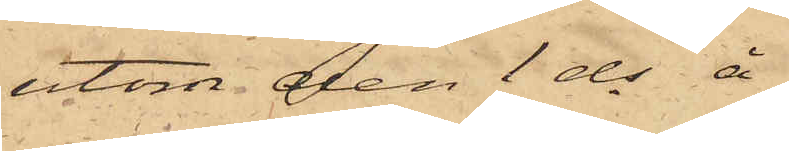utom den 1 ds å
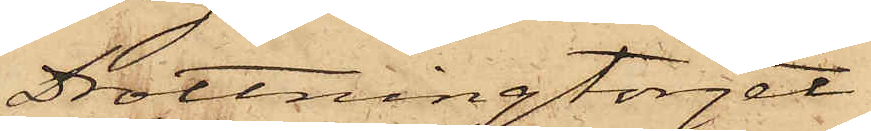Drottningtorget
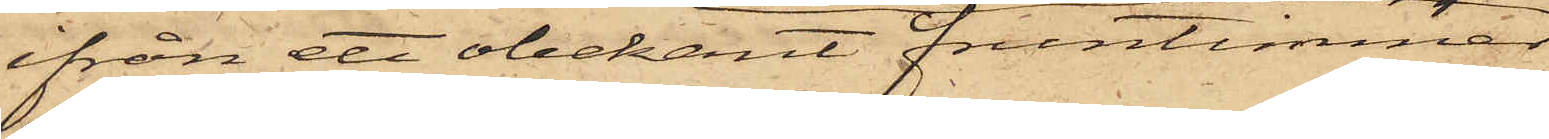ifrån ett obekant fruntimmer
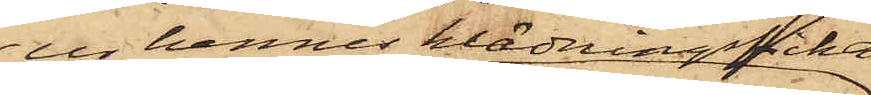ur hennes klädningsficka
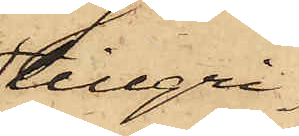tillgri¬
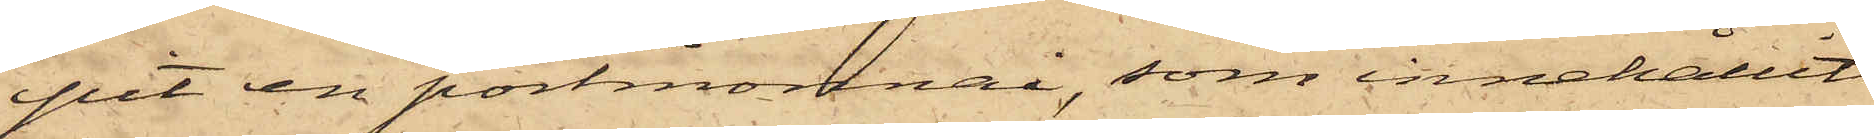pit en portmonnai, som innehållit
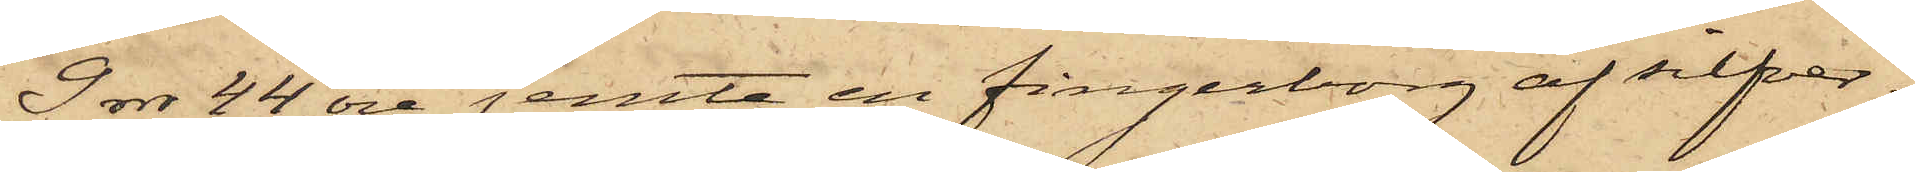9 rdr 44 öre jemte en fingerborg af silfver;
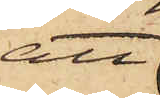att
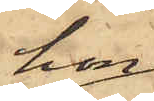hon
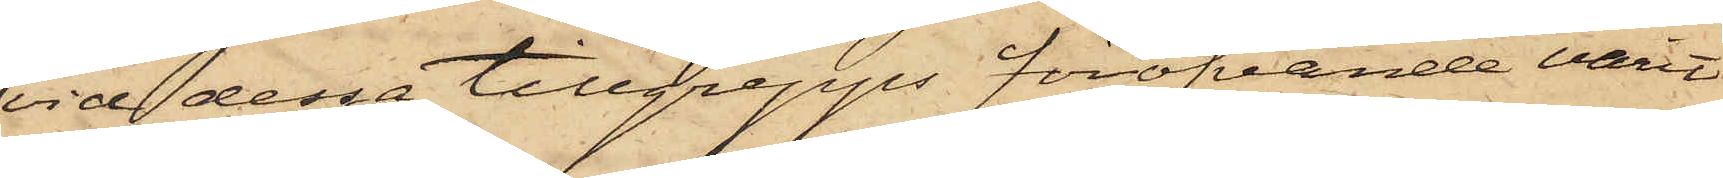vid dessa tillgrepps föröfvande varit
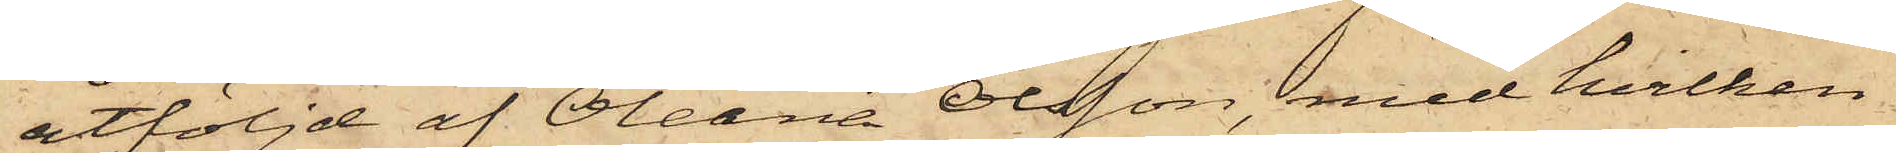åtföljd af Oleana Olsson, med hvilken
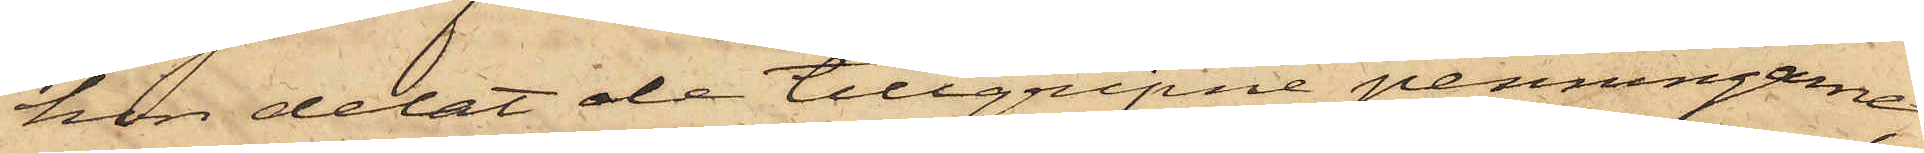hon delat de tillgripne penningarne,
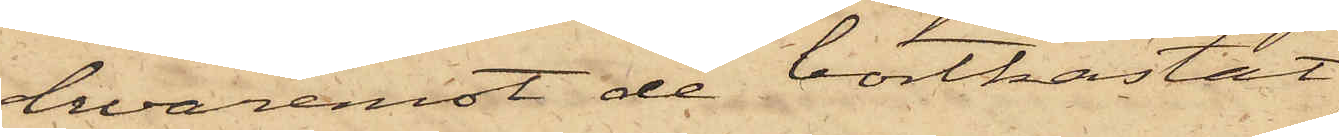hvaremot de bortkastat
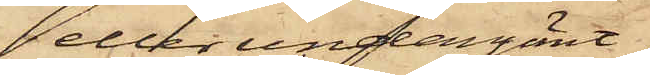eller undangömt
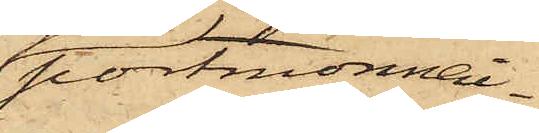portmonnai¬
